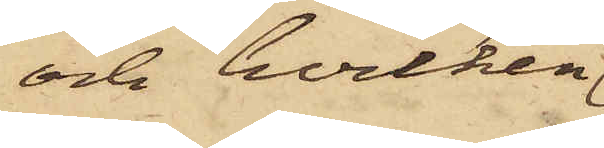och hvilken
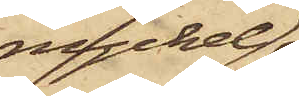nyckel
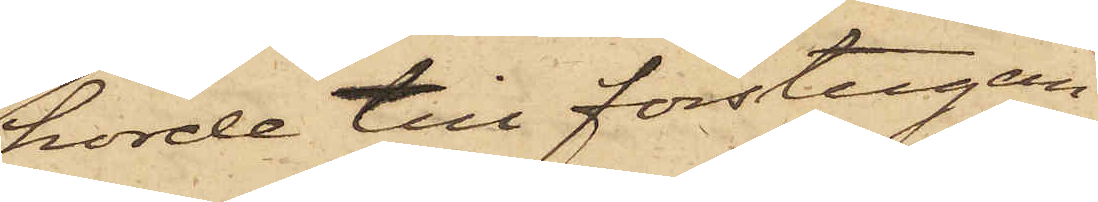hörde till förstugan
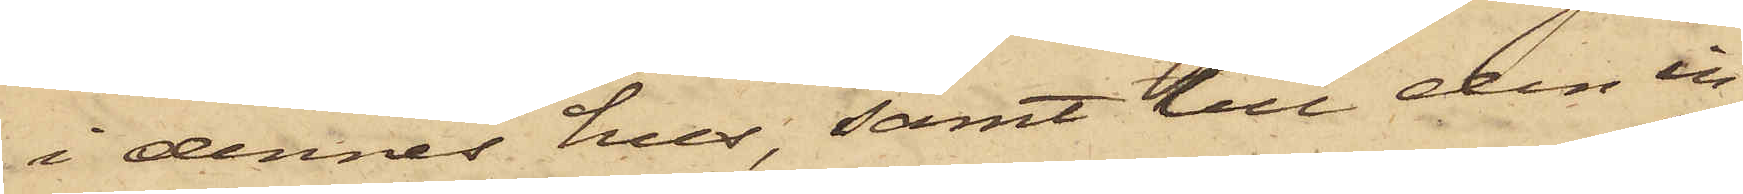i dennes hus, samt till den in¬
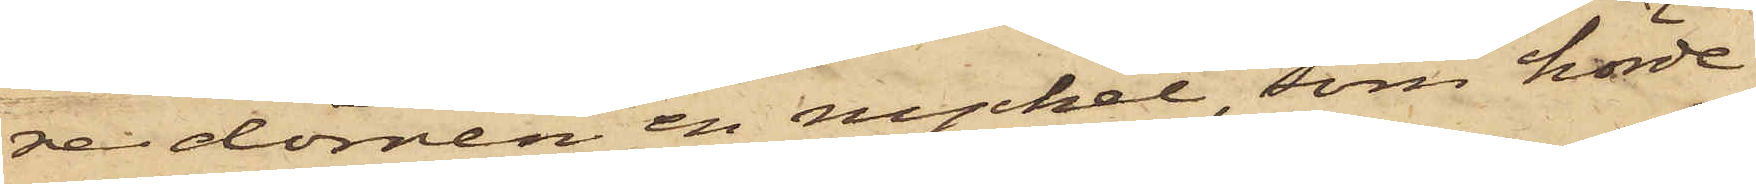re dörren en nyckel, som hörde
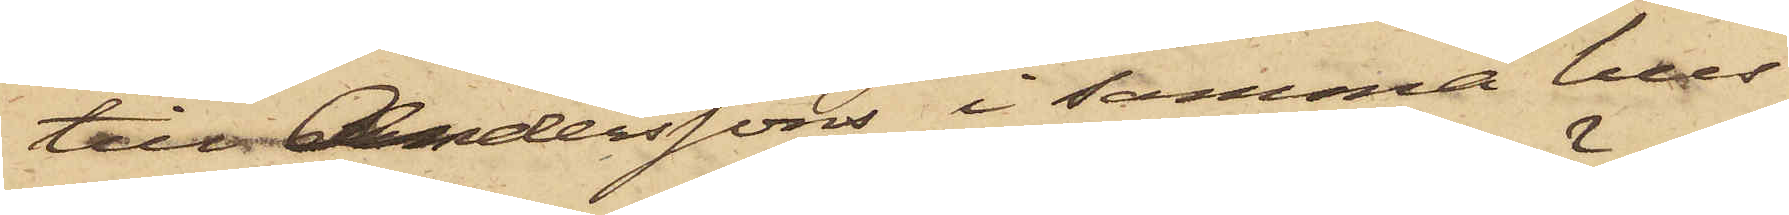till Anderssons i samma hus
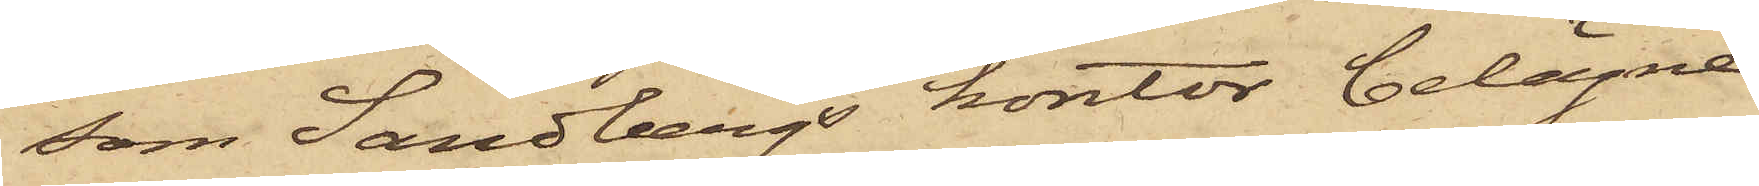som Sandbergs kontor belägne
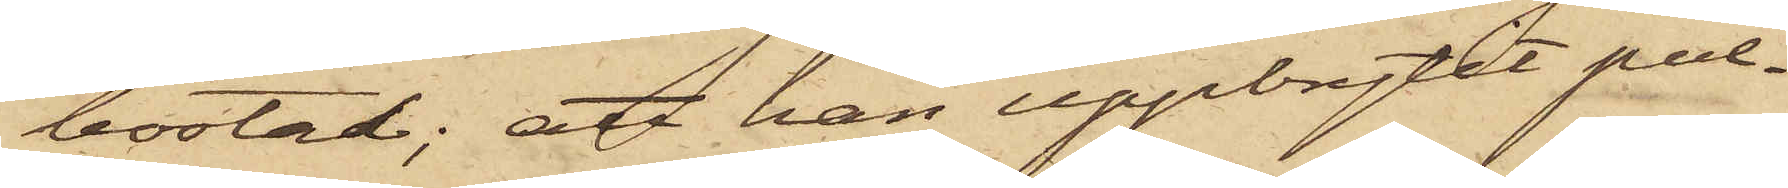bostad; att han uppbrytit pul¬
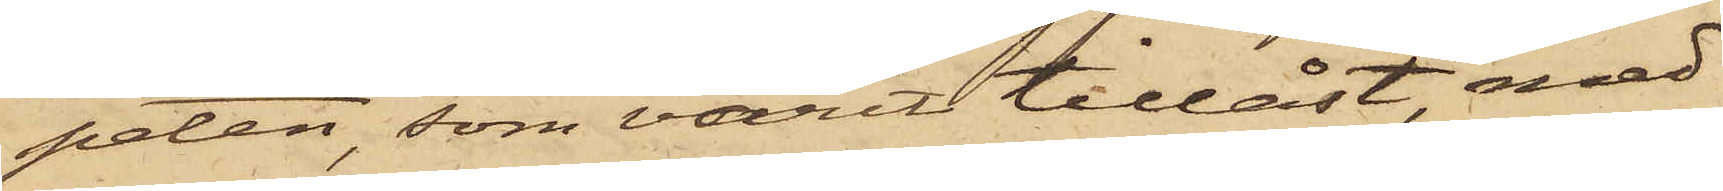peten, som varit tillåst, med
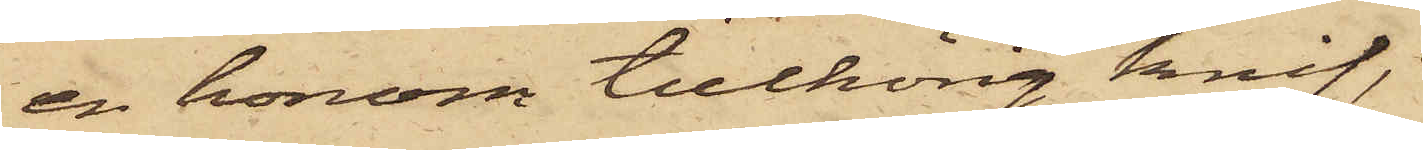en honom tillhörig knif,
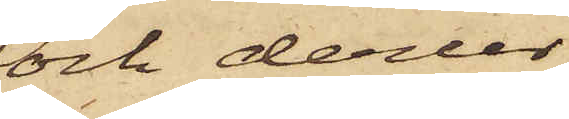och derur
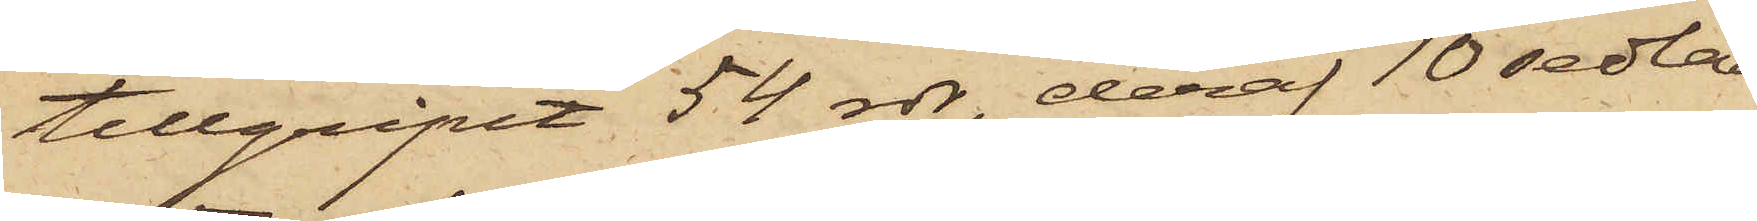tillgripit 54 rdr, deraf 10 sedlar
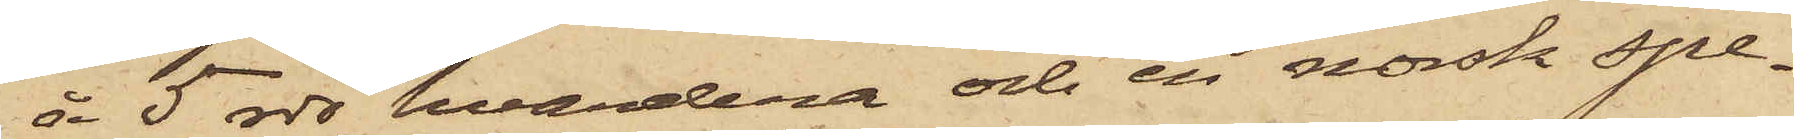å 5 rdr hvardera och en norsk Spe¬
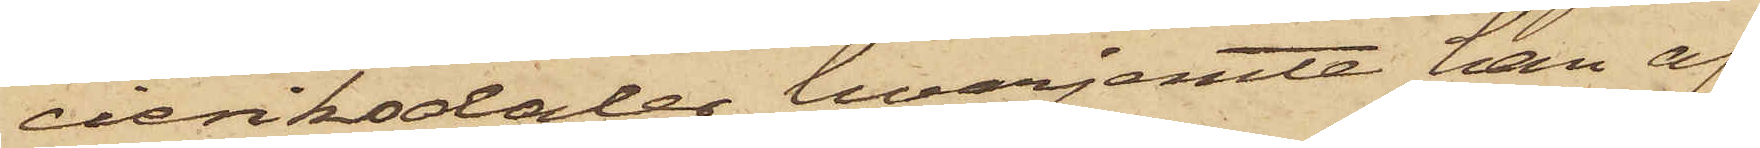cieriksdaler, hvarjemte han af
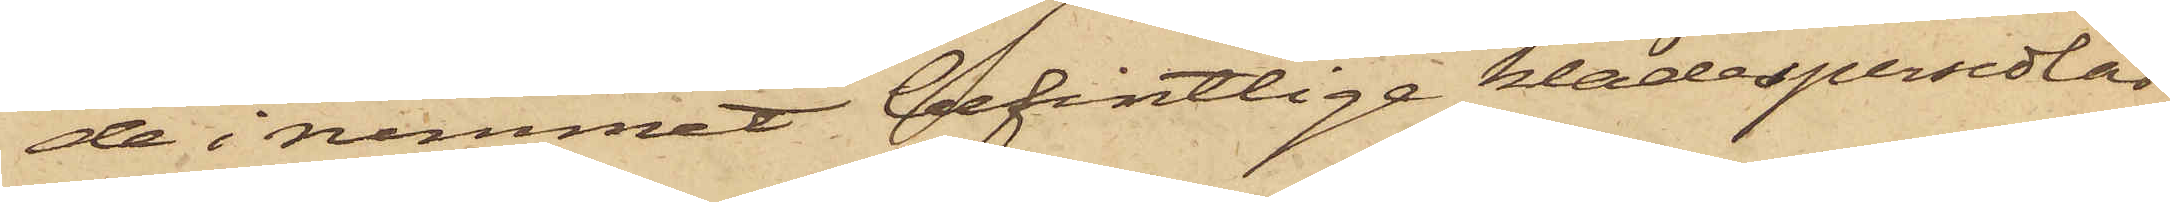de i rummet befintlige klädespersedlar
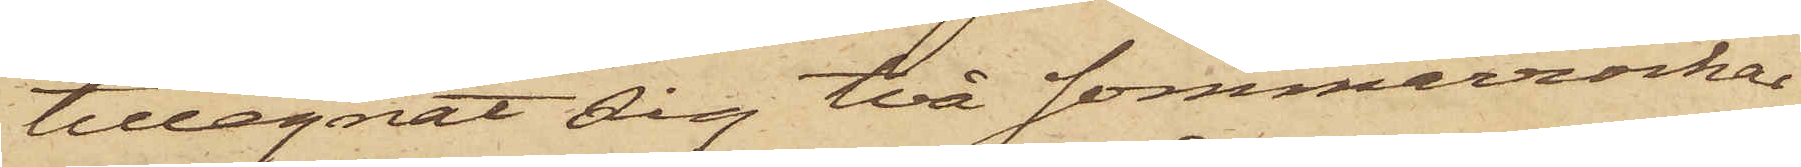tillegnat sin två sommarrockar
